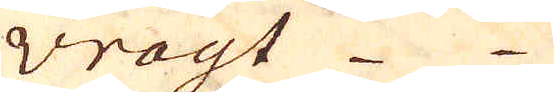Wrogt 4
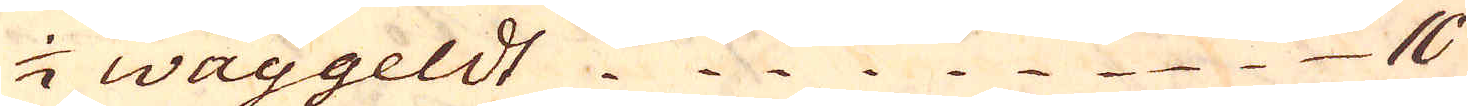1/2 Waggeldt 10
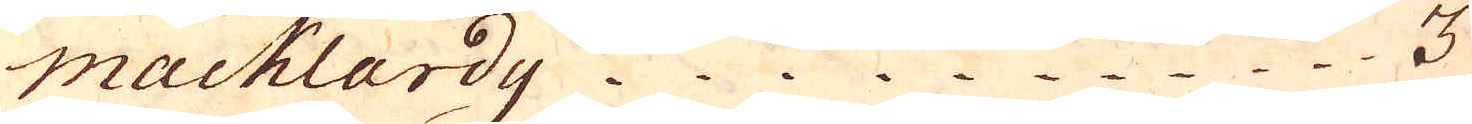macklardy 3
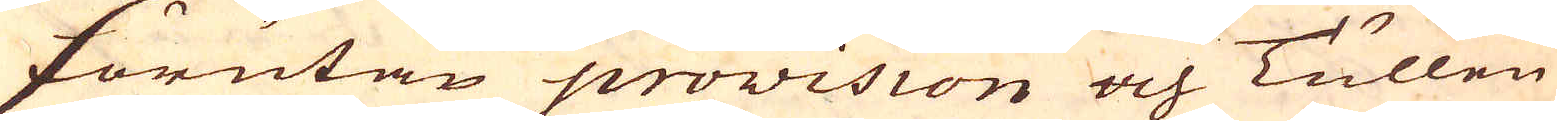förutan provision och Tullen
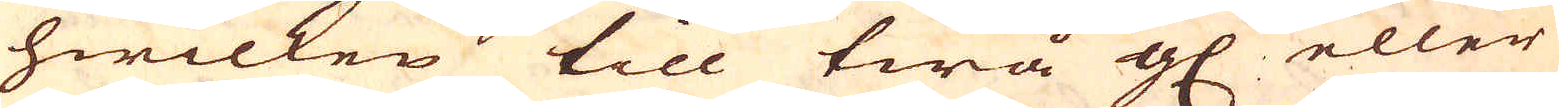hwilken till twå g. eller
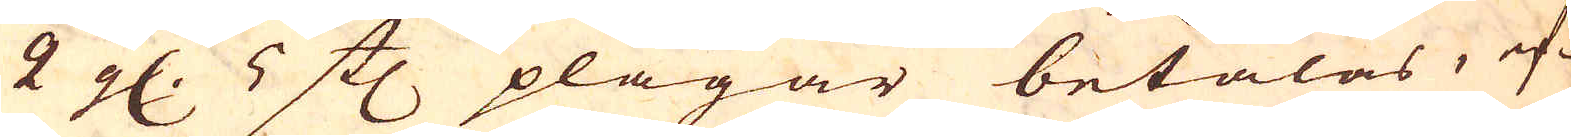2 g. 5 st: plägar betalas, ef-
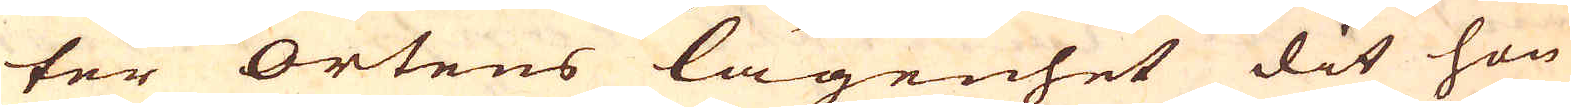ter ortens lägenhet dit hon
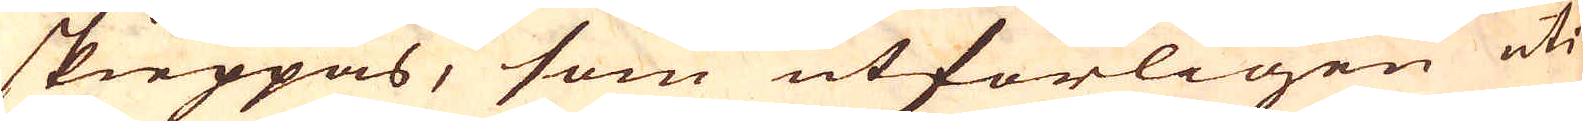skieppas, som utförligen uti
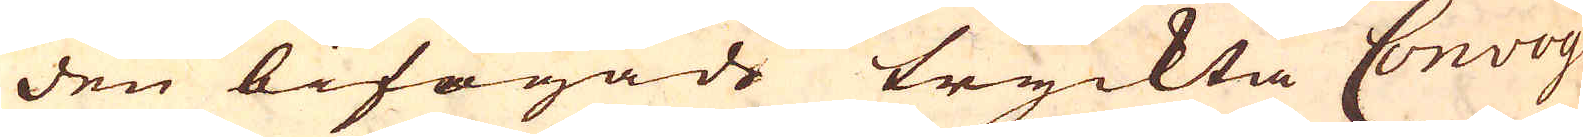den bifogade tryckta Convoy
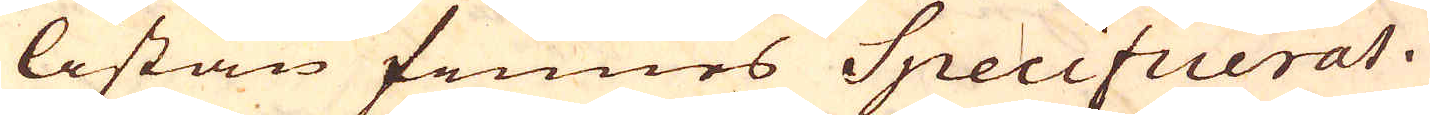listan finnes Specificerat.
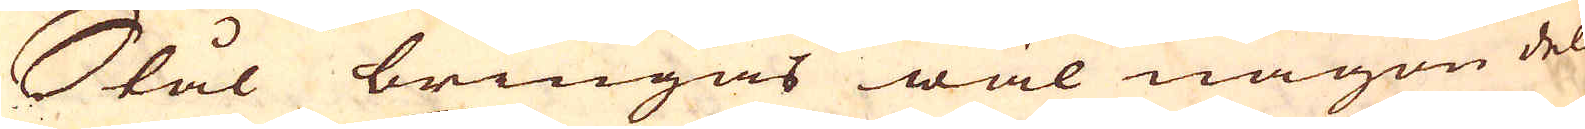Stål bringas wäl någon del
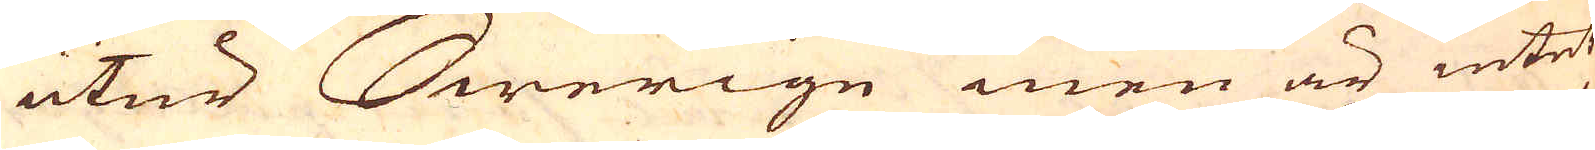utur Swerige men är intet
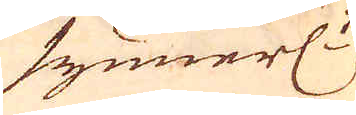synnerl:t
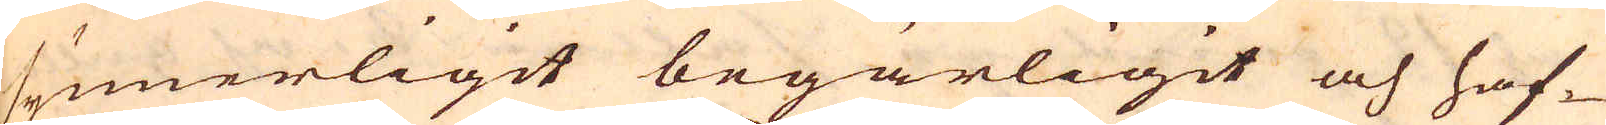synnerligit begärligit och haf-
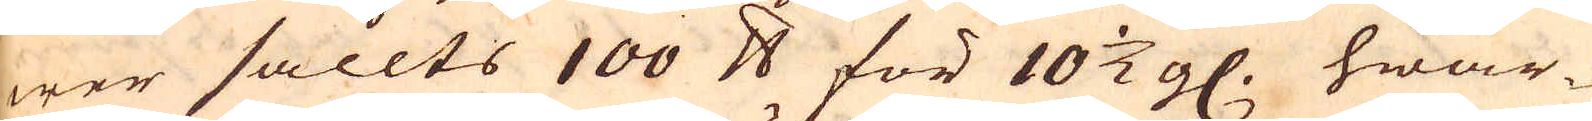wer sållts 100 skålpund för 10 1/2 g. hwar-
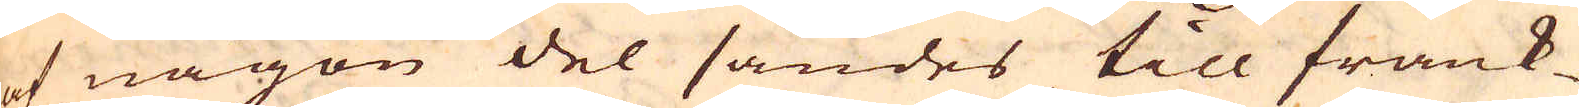af någon del sändes till frank-
